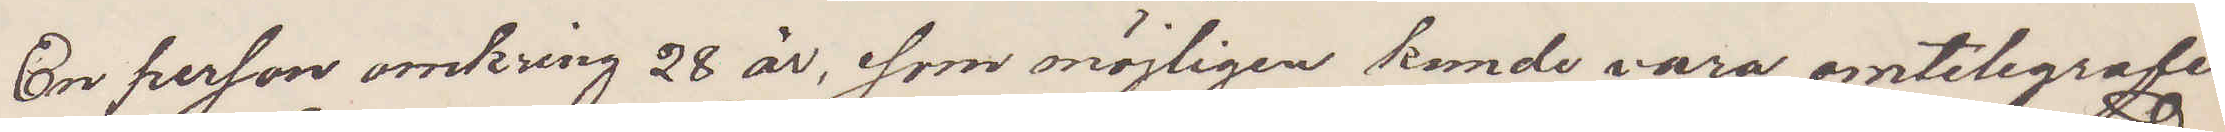En person omkring 28 år, som möjligen kunde vara omtelegrafe¬
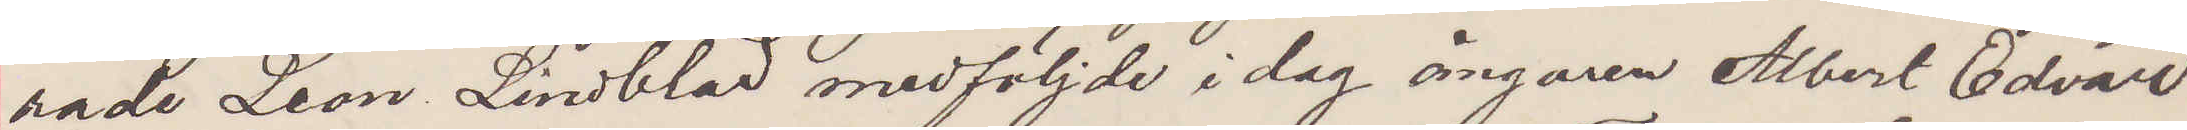rade Leon Lindblad medföljde i dag ångaren Albert Edvard
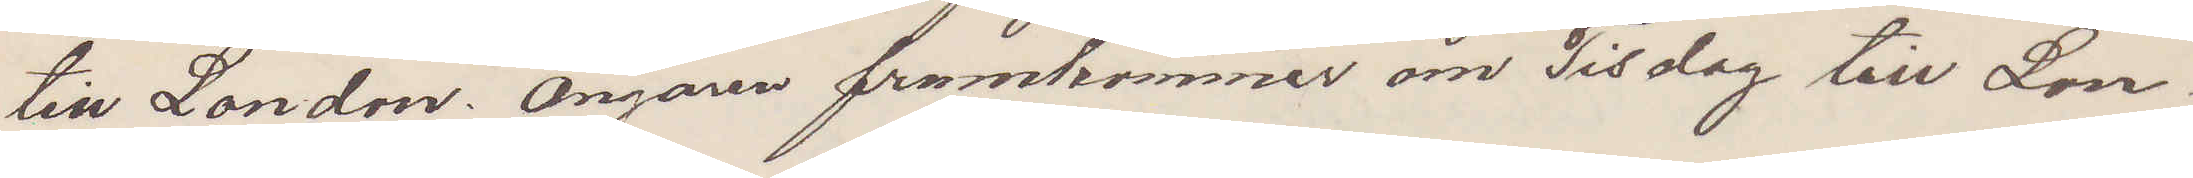till London. Ångaren framkommer om Tisdag till Lon¬
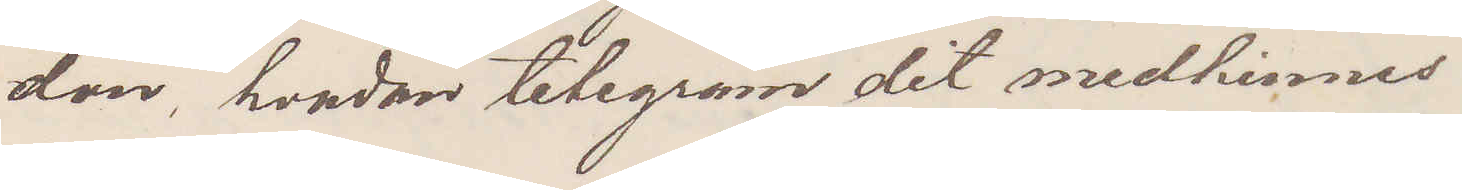don, hvadan telegram dit medhinnes
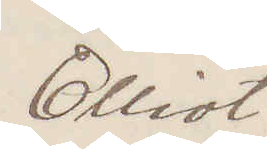Elliot
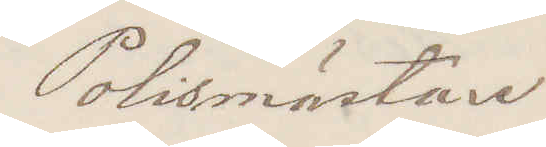Polismästare
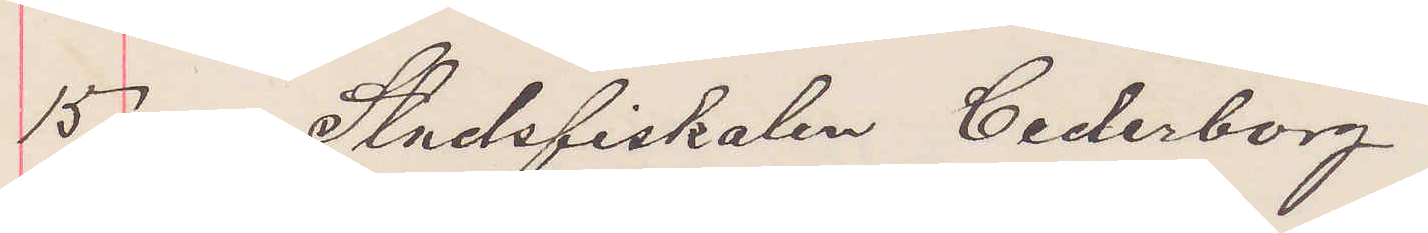15 Stadsfiskalen Cederborg
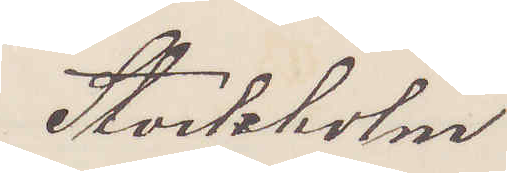Stockholm
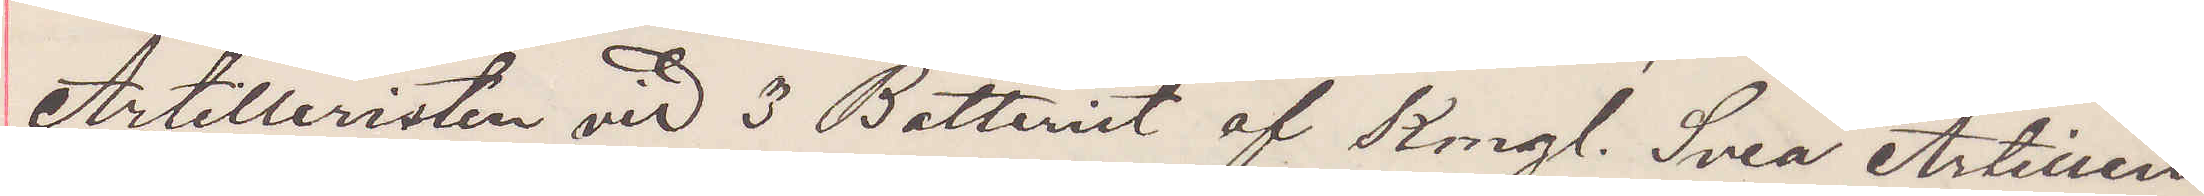Artilleristen vid 3 Batteriet af Kongl. Svea Artilleri
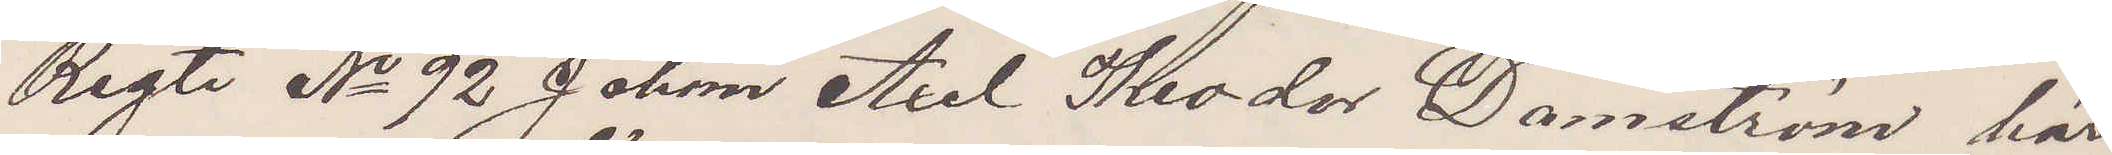Regte No 92 Johan Axel Theodor Damström här
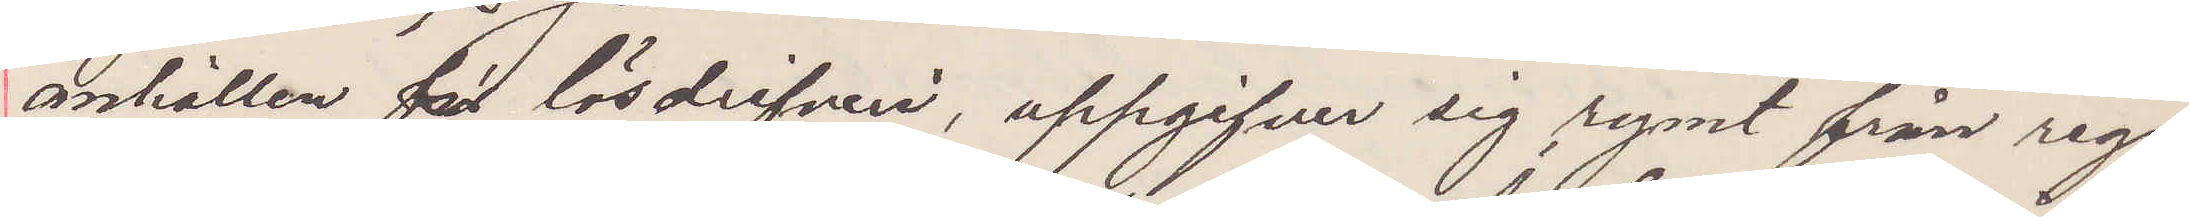anhållen för lösdrifveri, uppgifver sig rymt från rege¬
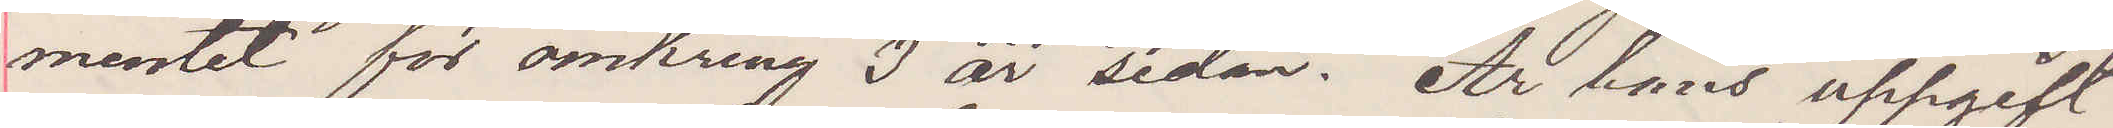mentet för omkring 3 år sedan; Är hans uppgift
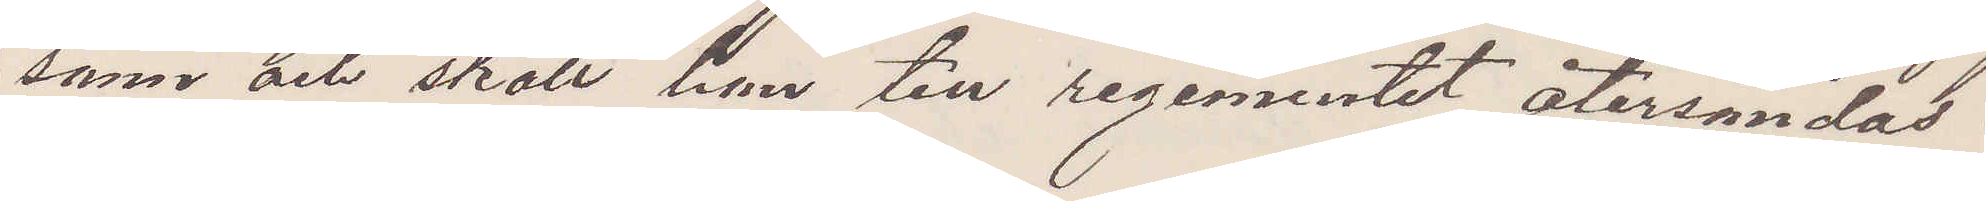sann och skall han till regementet återsändas.
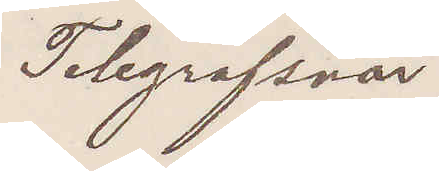Telegrafsvar.
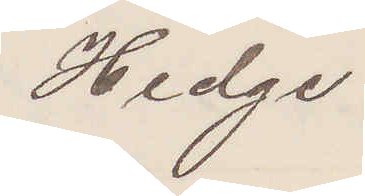Hedge
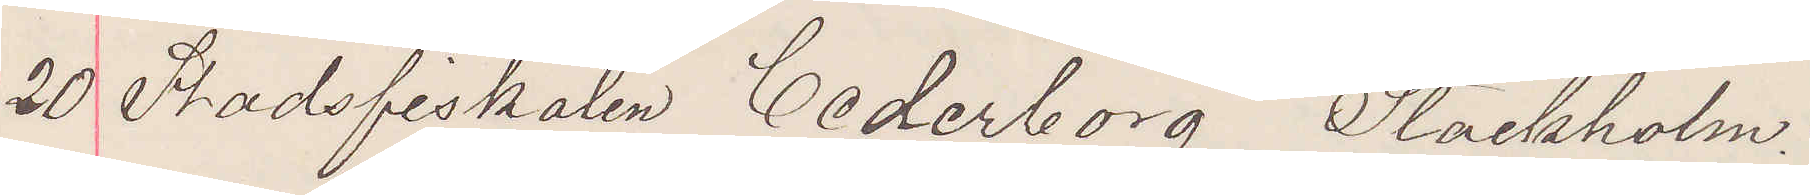20  Stadsfiskalen Cederborg Stockholm.
